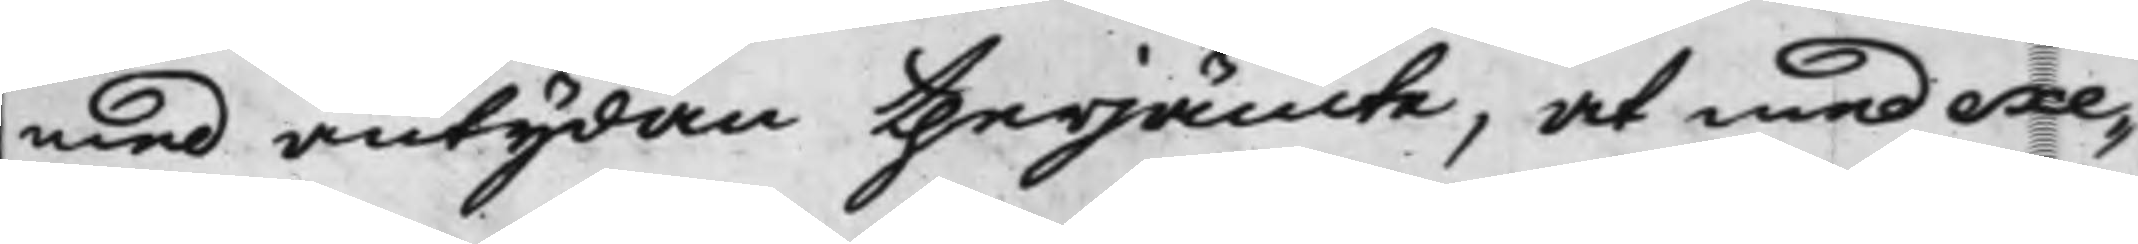med antydan therjämte, at med exe¬
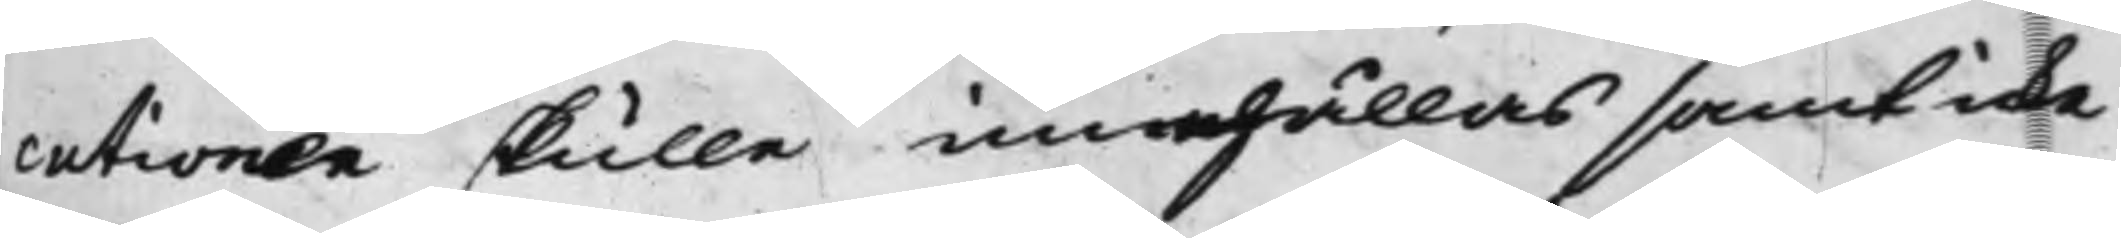cutionen skulle innehållas samt icke
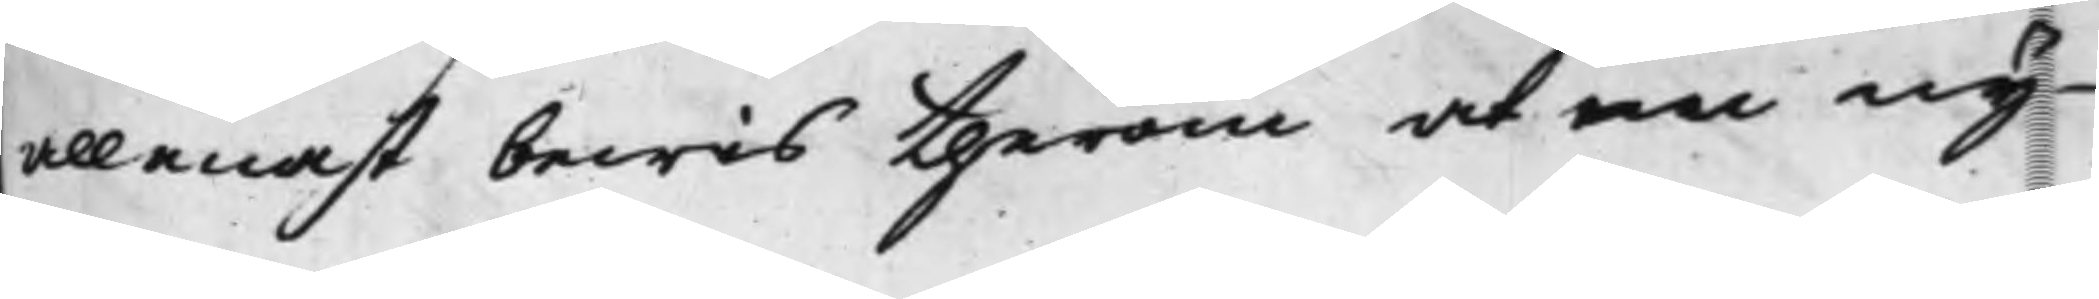allenast bewis therom at en ny
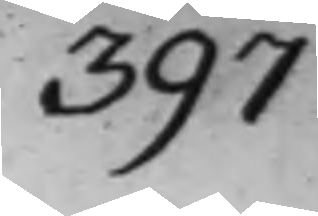397
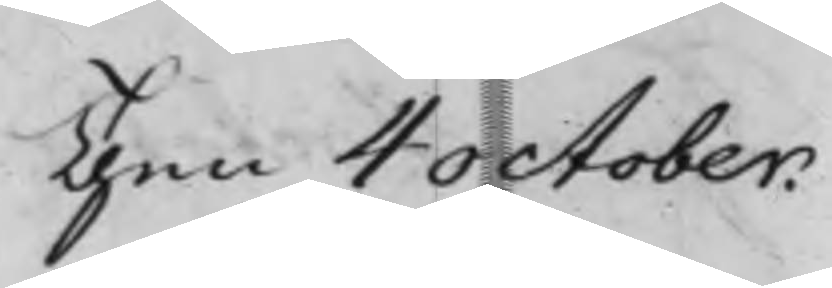Then 4 October.
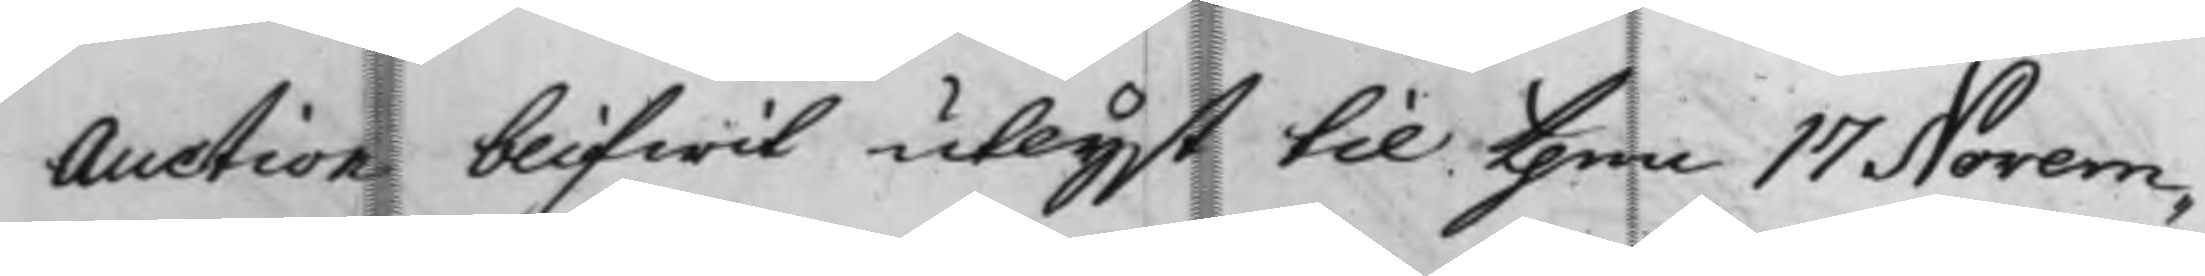Auction blifwit utlyst till then 17 Novem¬
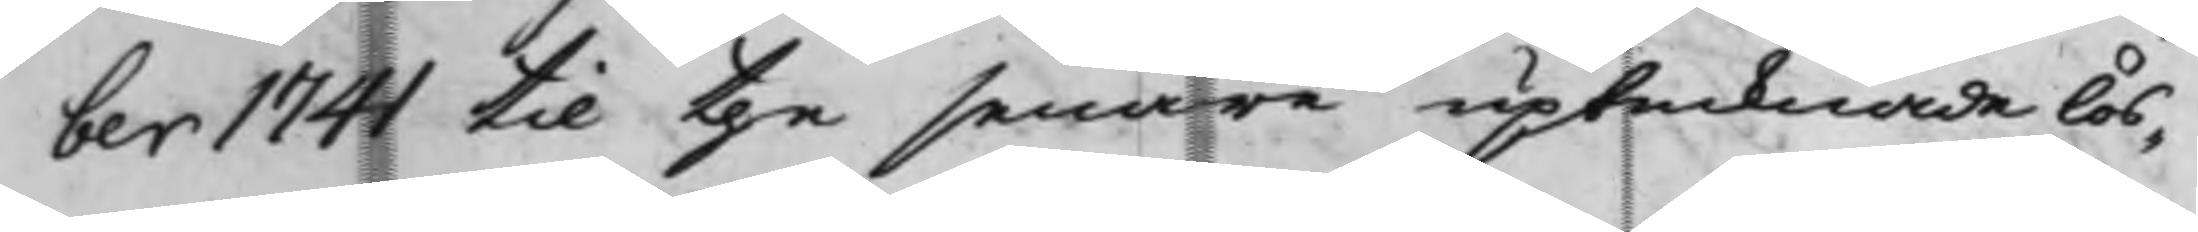ber 1741 til the senare uptecknade lös¬
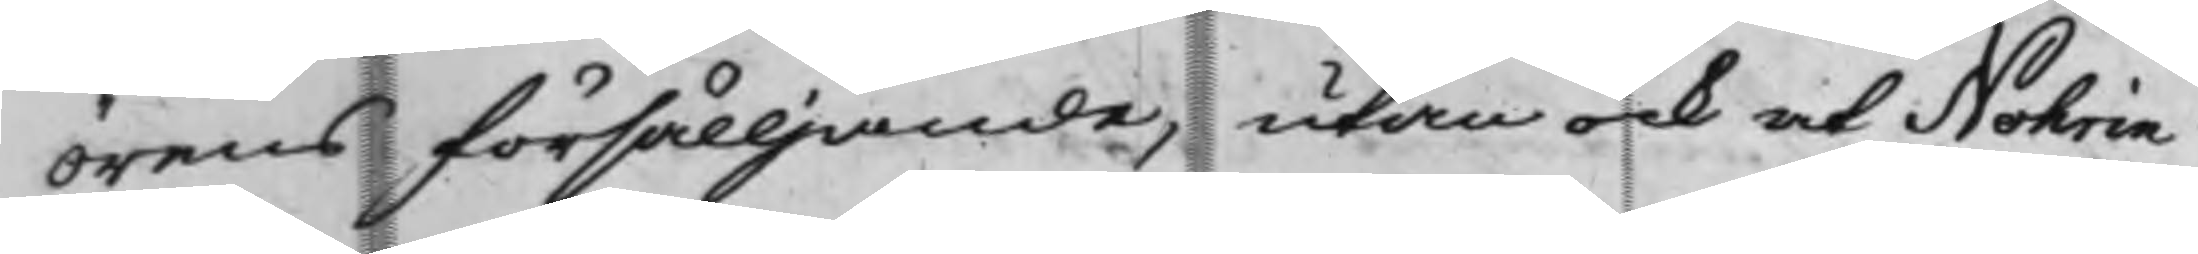örens försälljande, utan ock at Nohrin
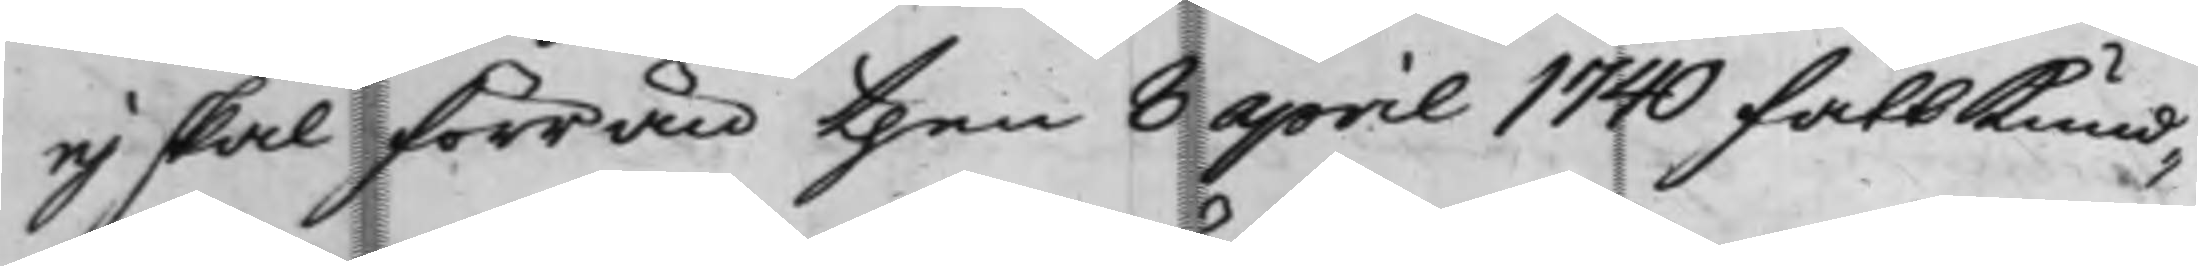ej skal förrän then 8 april 1740 fått Kund¬
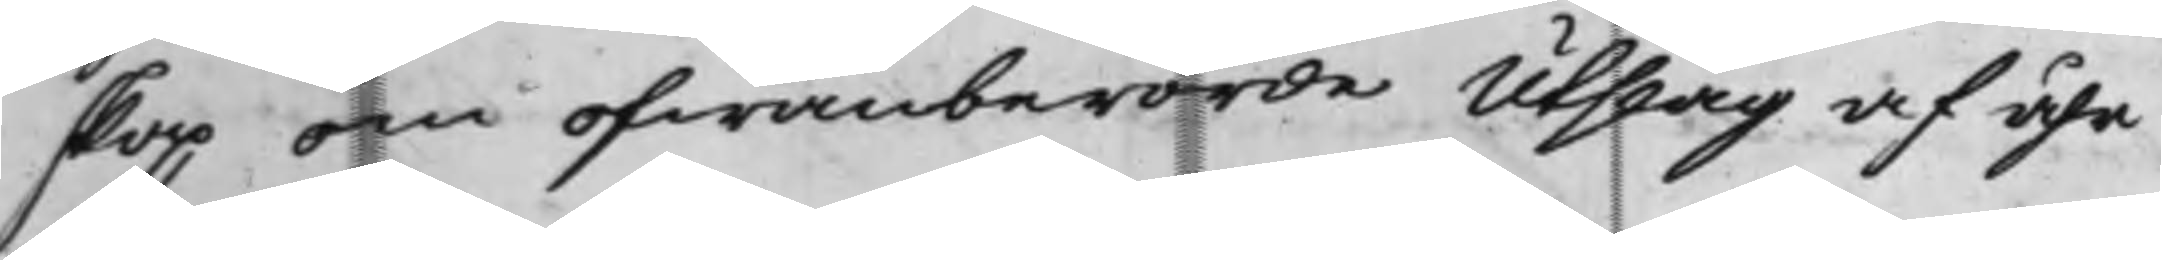skap om ofwanberörde Utslag af åhr
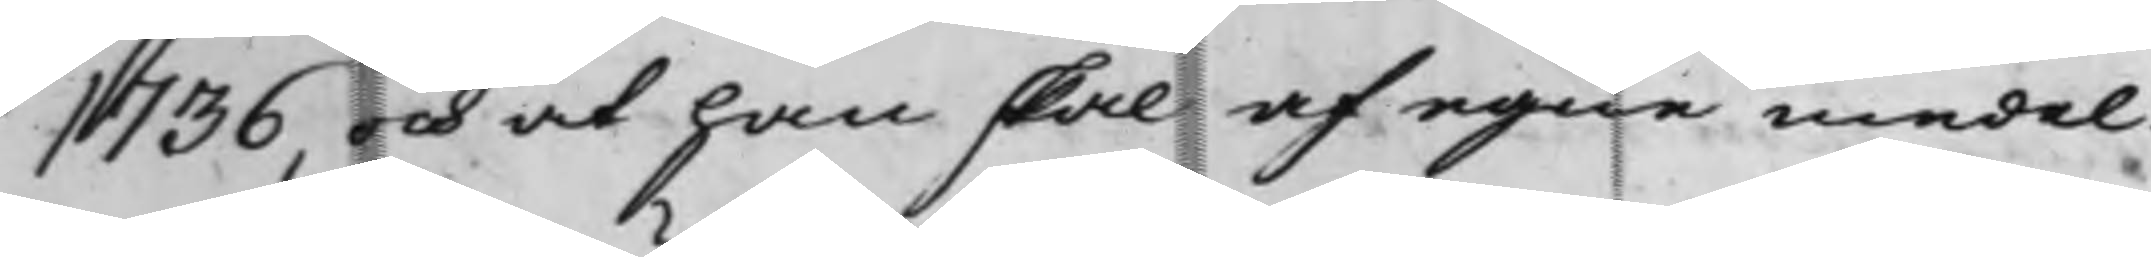1736, och at han skal af egne medel
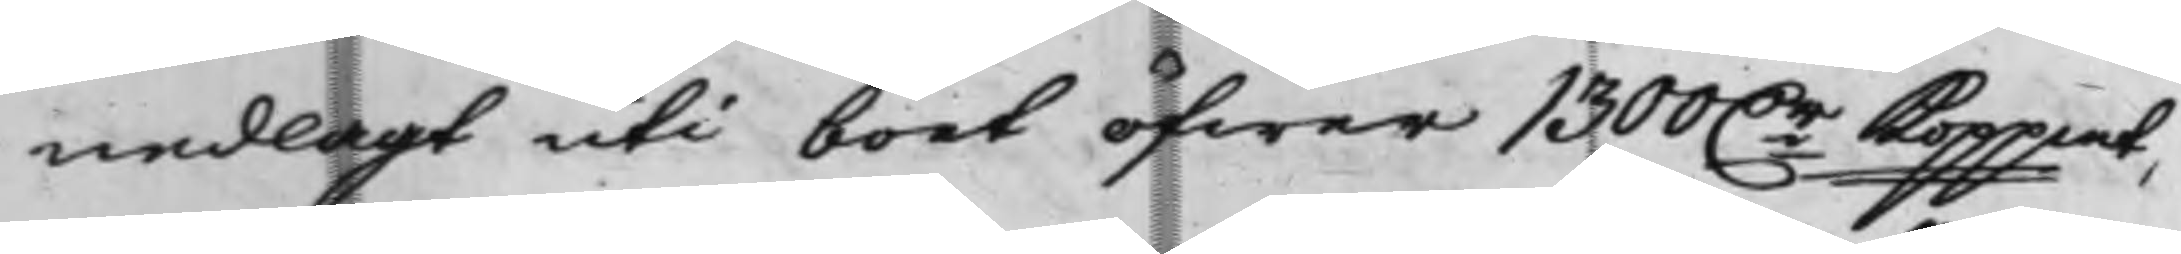nedlagt uti boet öfwer 1300 Dr Koppmt,
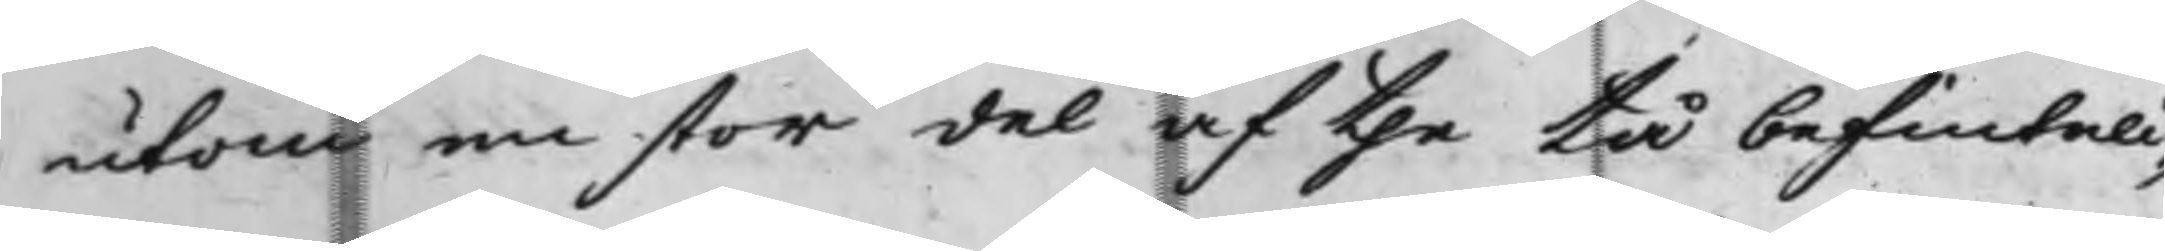utom en stor del af the tå befinteli¬
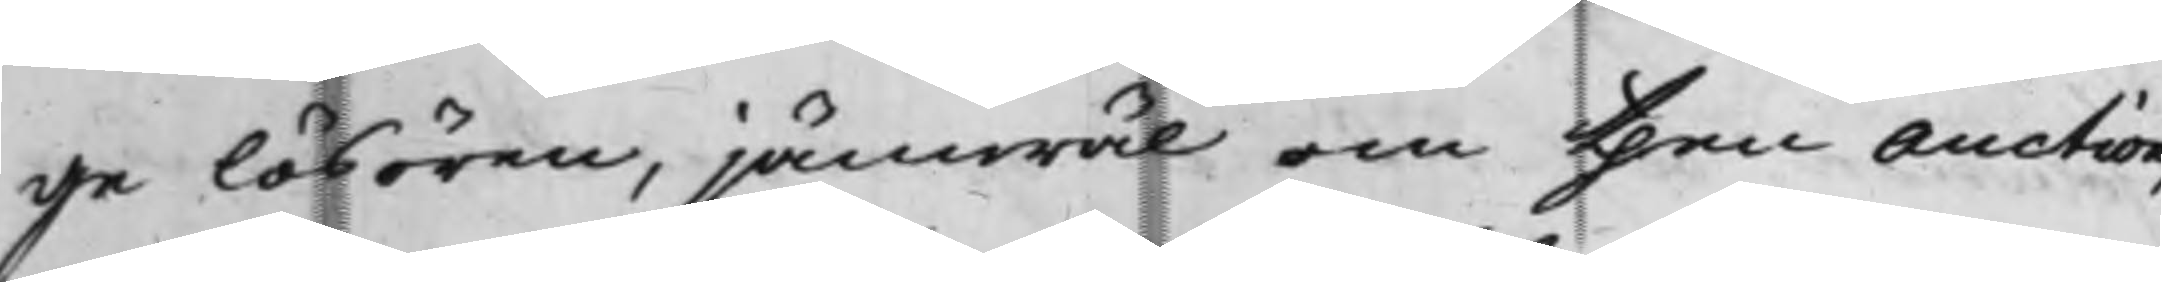ge lösören, jämwäl om then auction,
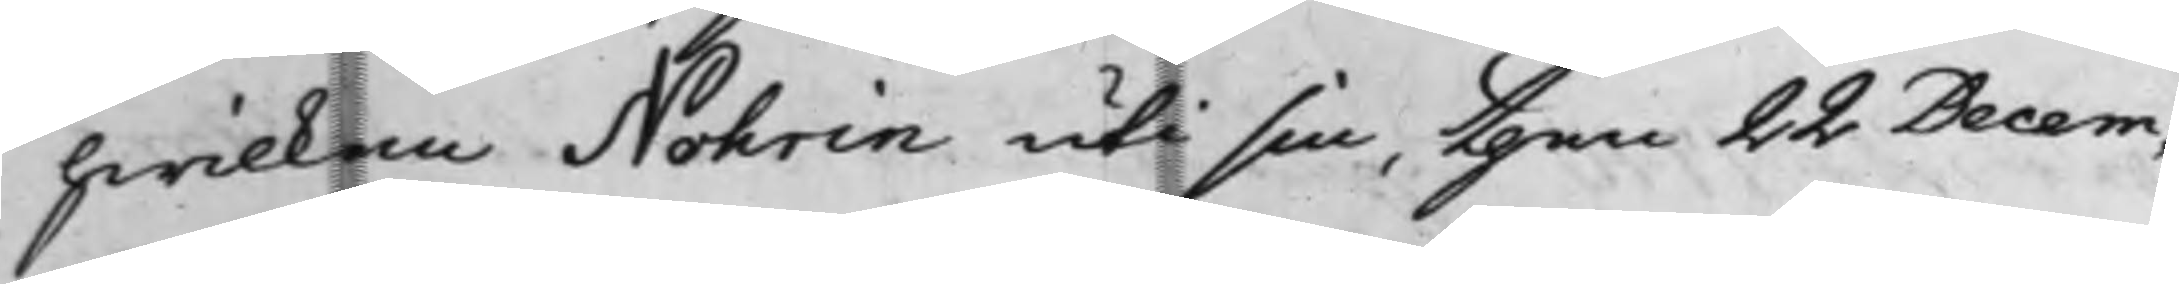hwilken Nohrin uti sin, then 22 Decem¬
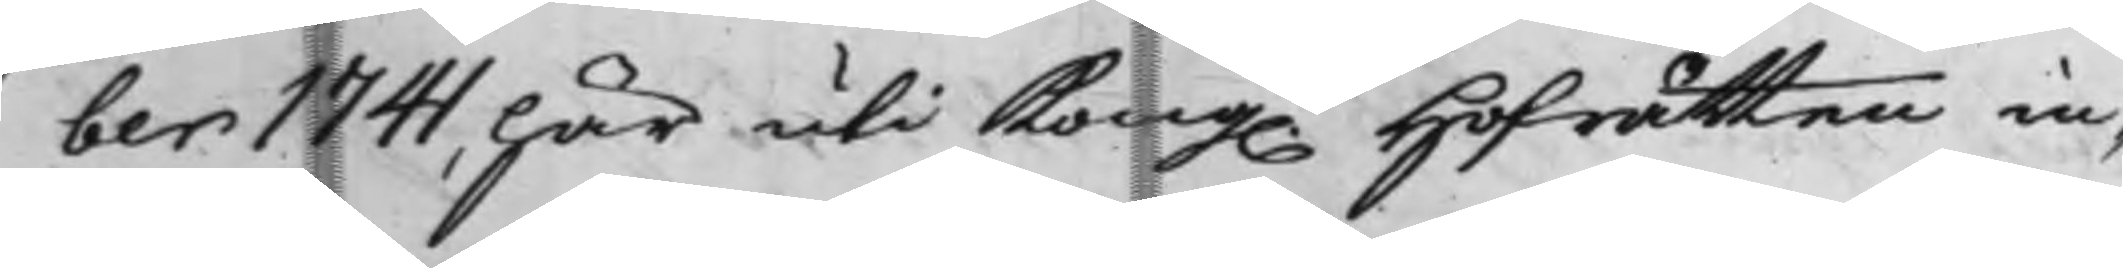ber 1741, här uti Kong. Hofrätten in¬
